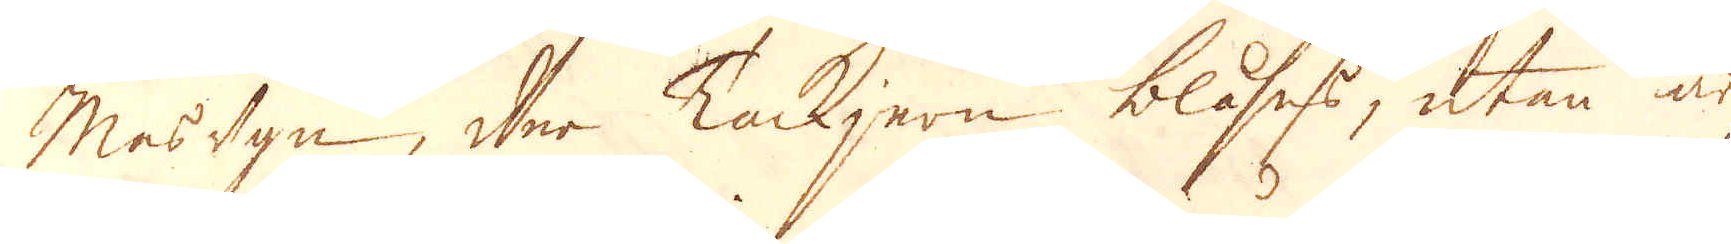Masugn, der Tackjern blåses, utan är
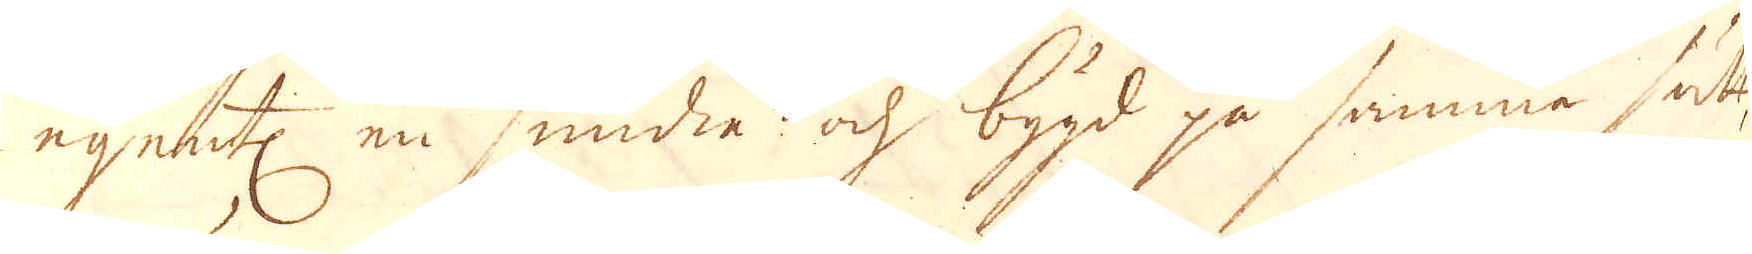egent:n en smidia och bygd på samma sätt
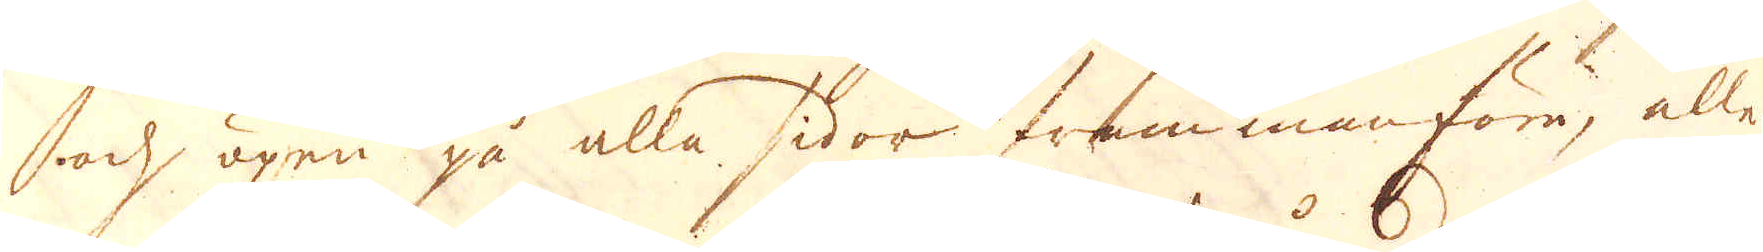och öpen på alla sidor frammanföre, alle-
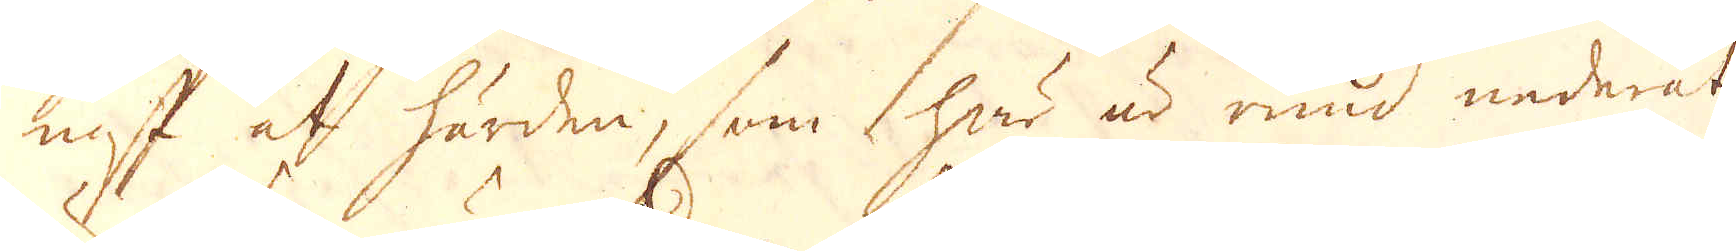nast af härden, som här är rund nederåt,
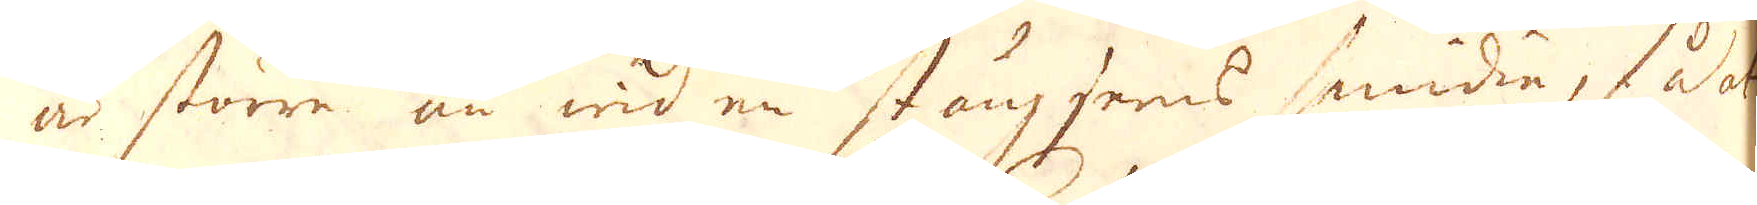är större än wid en stångjerns smidia; så at
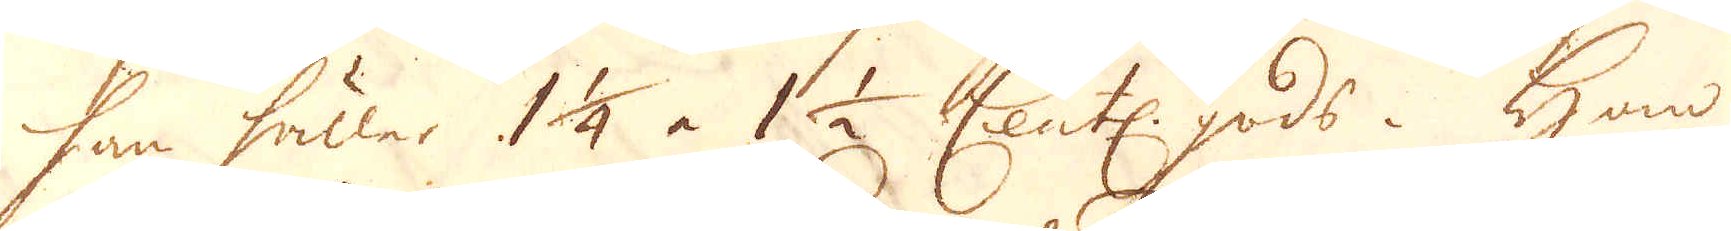han håller 1 1/4 à 1 1/2 Cent: gods. Han
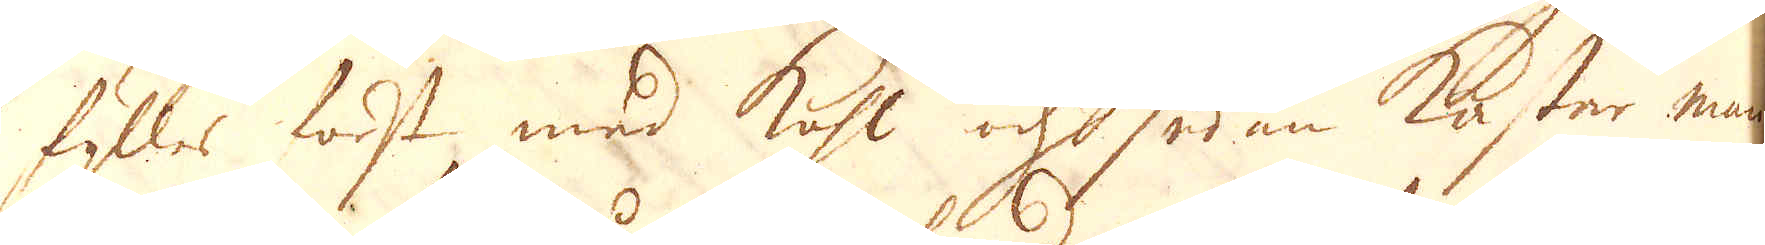fylles först med kohl och sedan kastar man
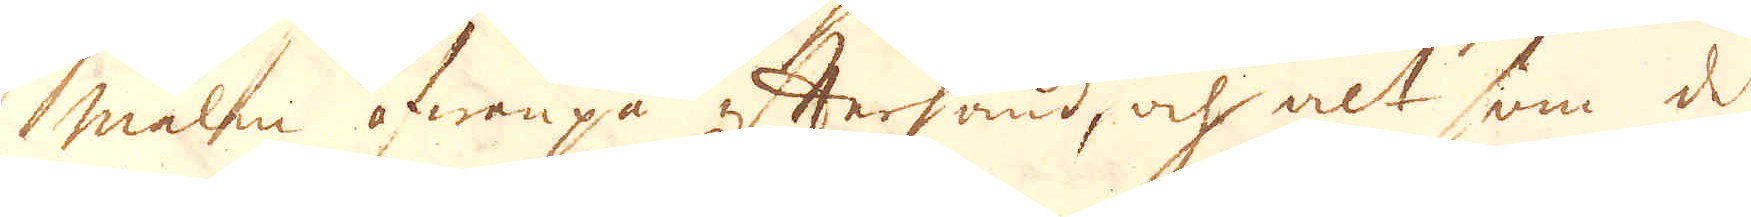malm owanpå efterhand, och alt som det
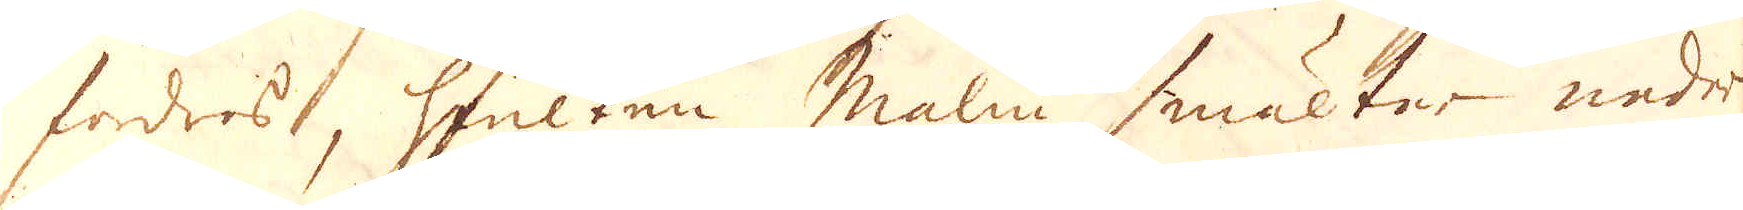fordras, hwilken malm smälter neder
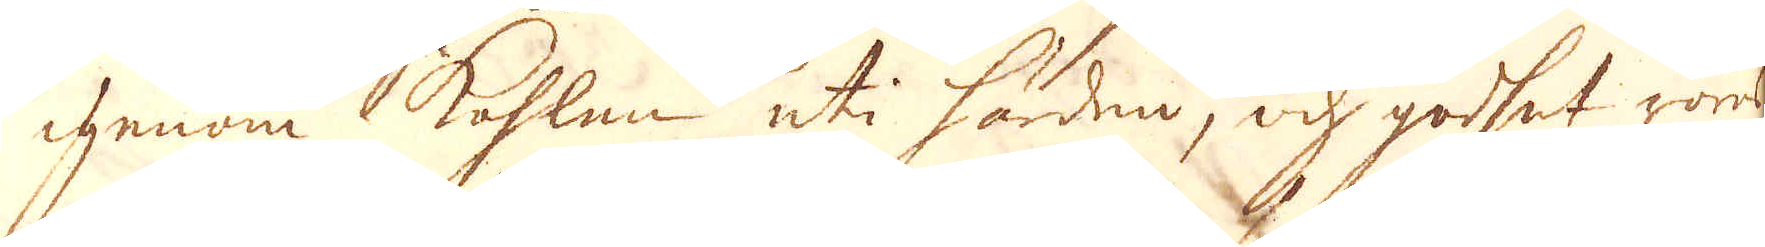igenom kohlen uti härden, och godset röres
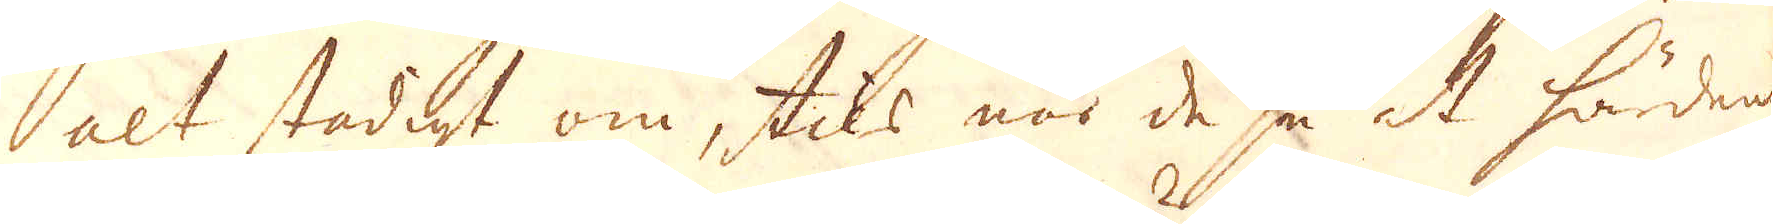alt stadigt om, tils när de se at härden
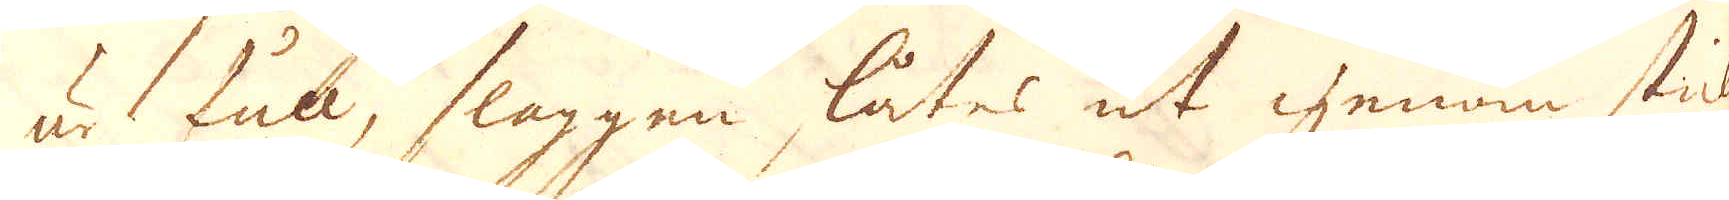är full, slaggen låtes ut genom stick-
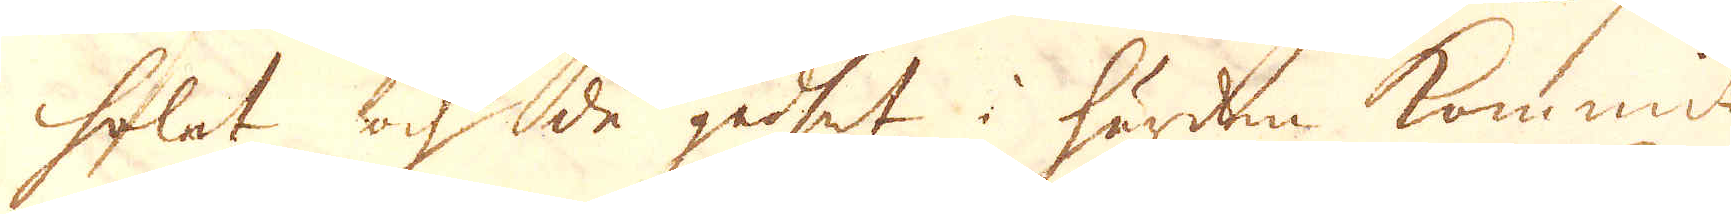holet och då godset i härden kommit
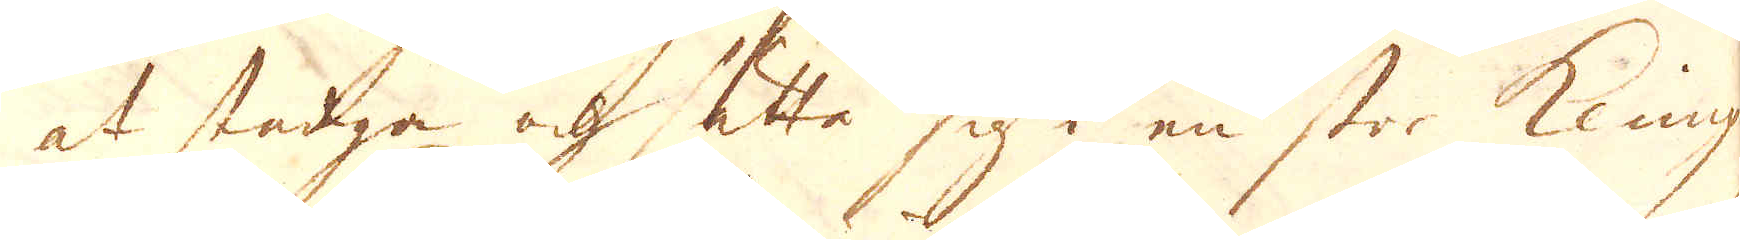at stadga och sätta sig i en stor klimp
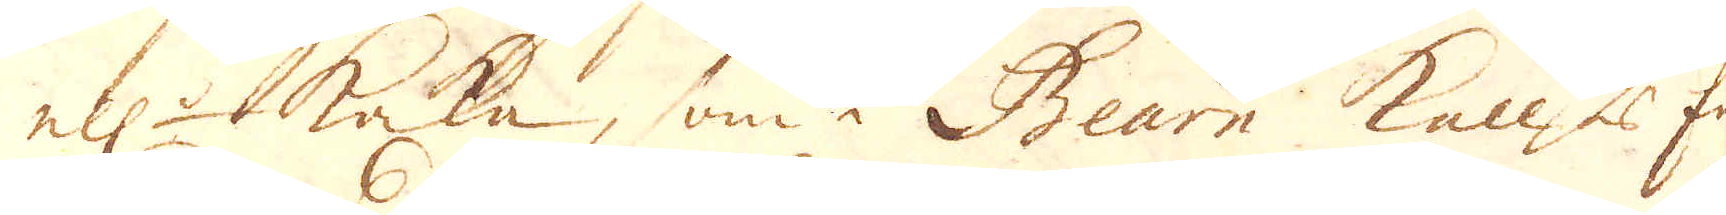ell:r tacka, som i Bearn kallas En
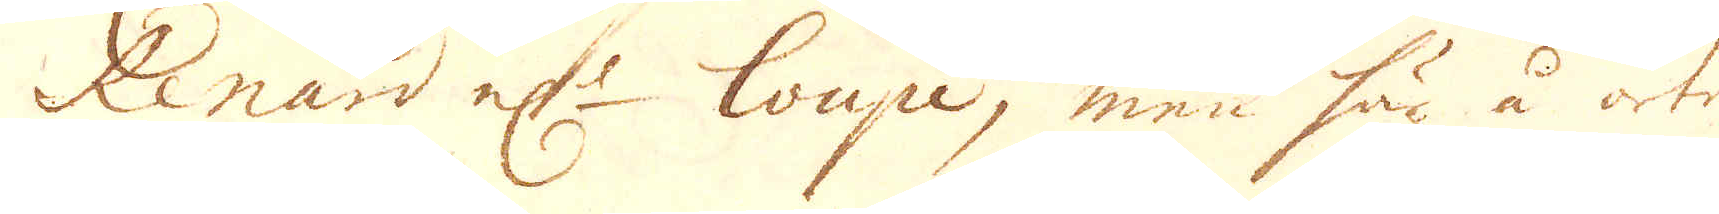Renard el:r loupe, men här å ort-
